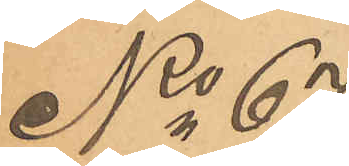No 67
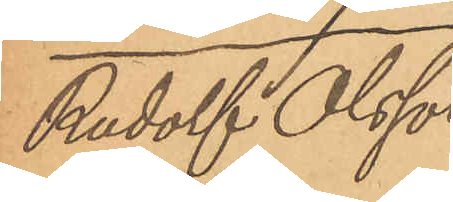Rudolf Olsson
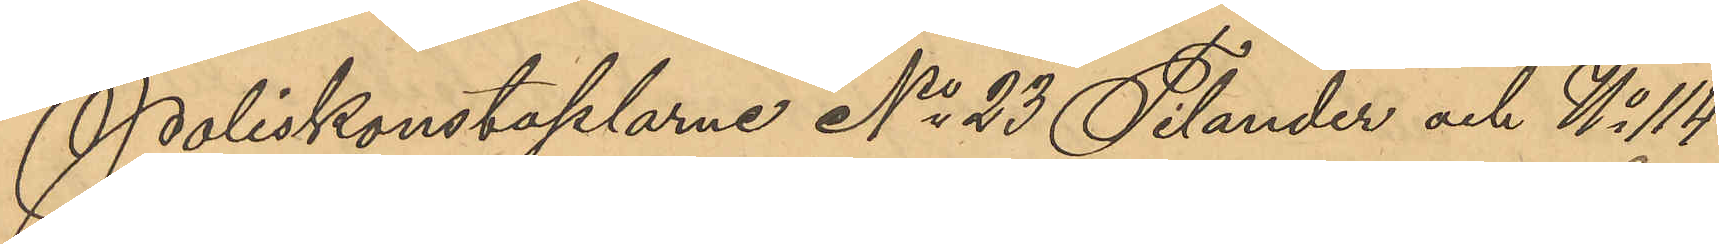Poliskonstaplarne No 23 Tilander och No 114
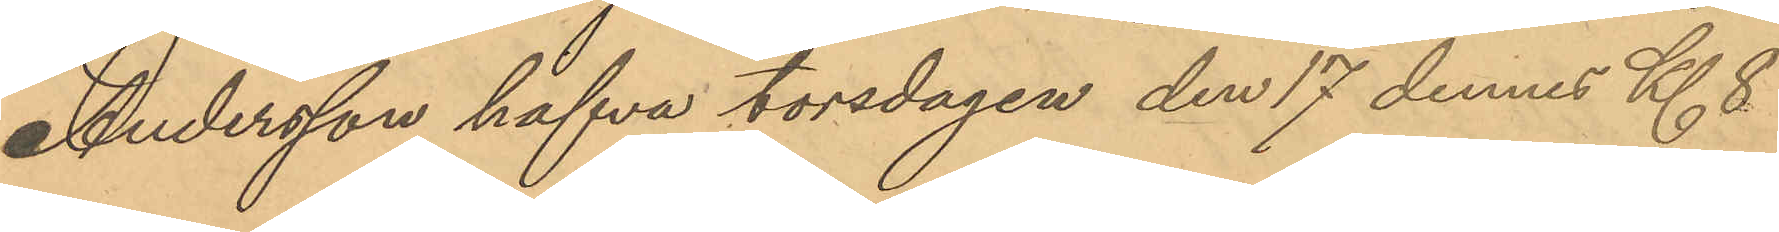Andersson hafva torsdagen den 17 dennes Kl 8
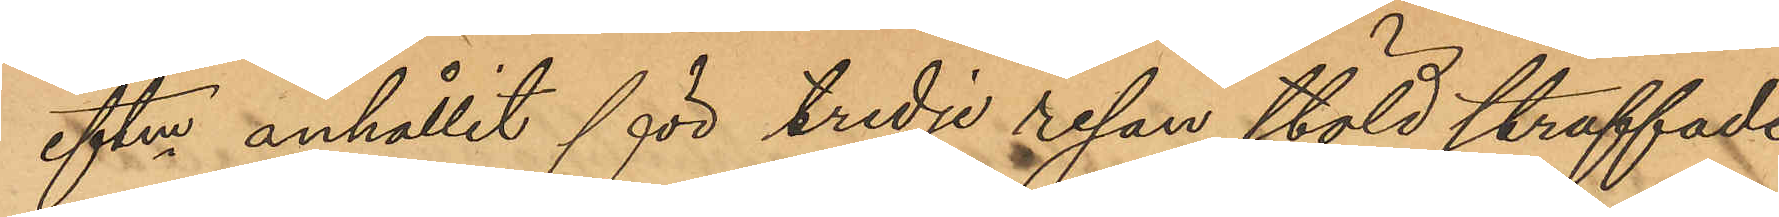eftm anhållit för tredje resan stöld straffade
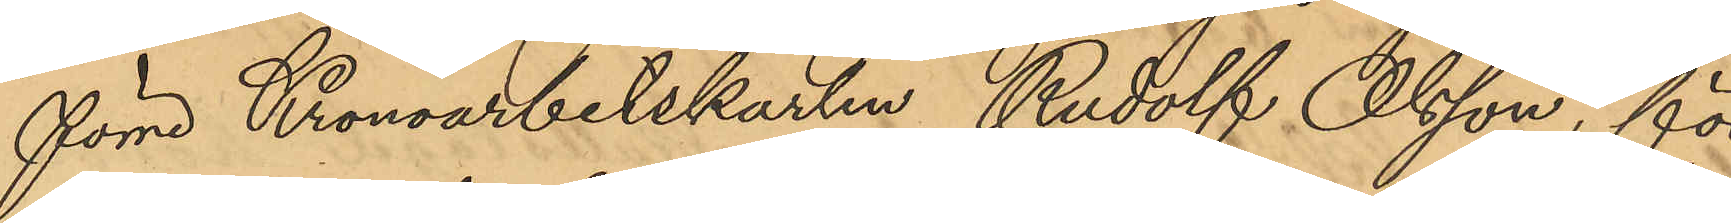förre Kronoarbetskarlen Rudolf Olsson, för
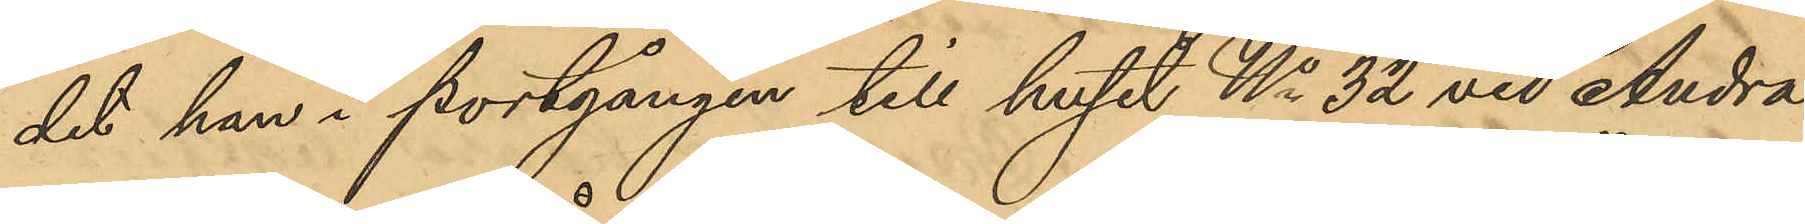det han i portgången till huset No 32 vid Andra
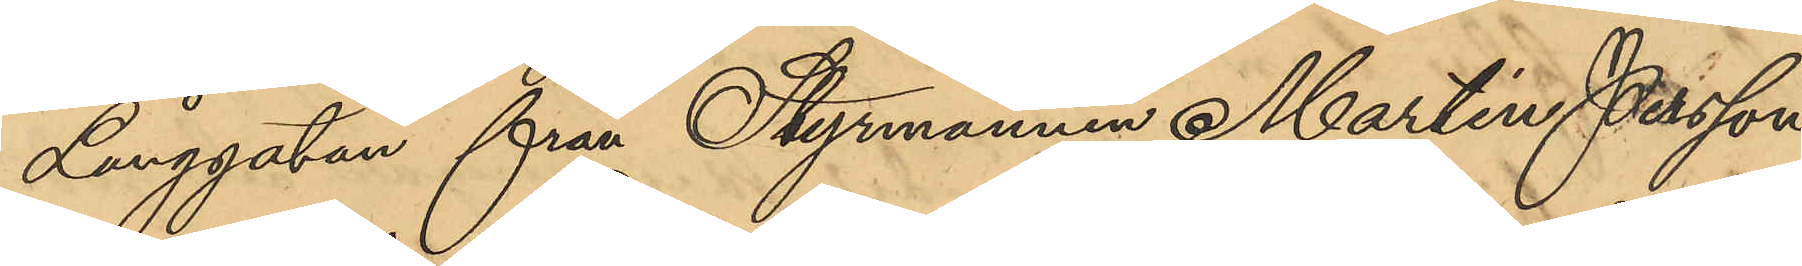Långgatan från Styrmannen Martin Persson
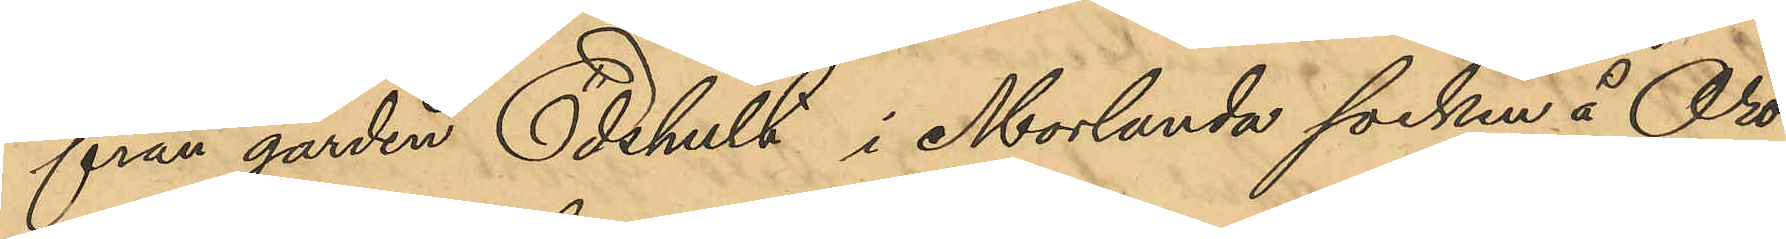från gården Edehult i Morlanda socken å Oro¬
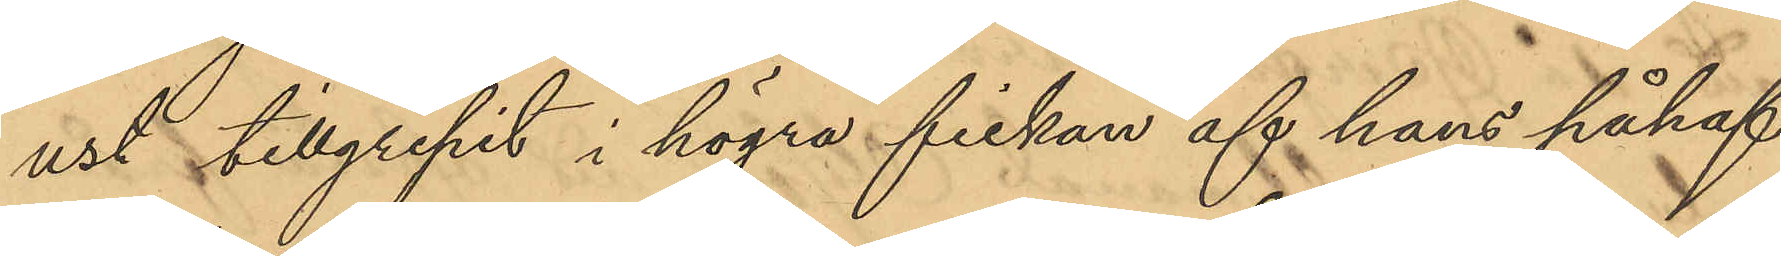ust tillgripit i högra fickan af hans påhaf¬
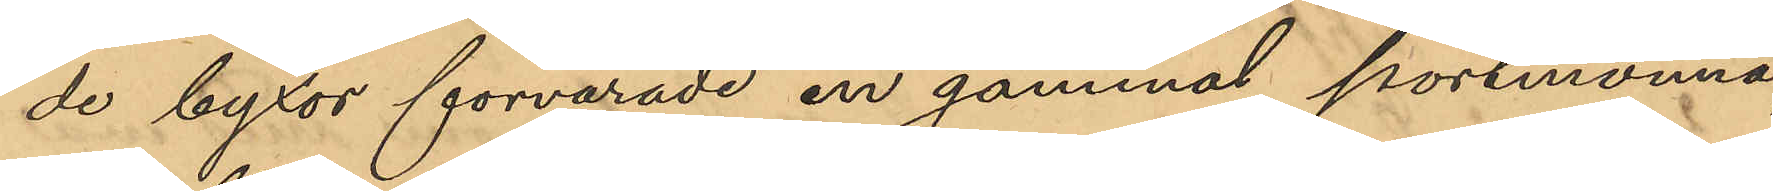de byxor förvarade en gammal portmonnä,
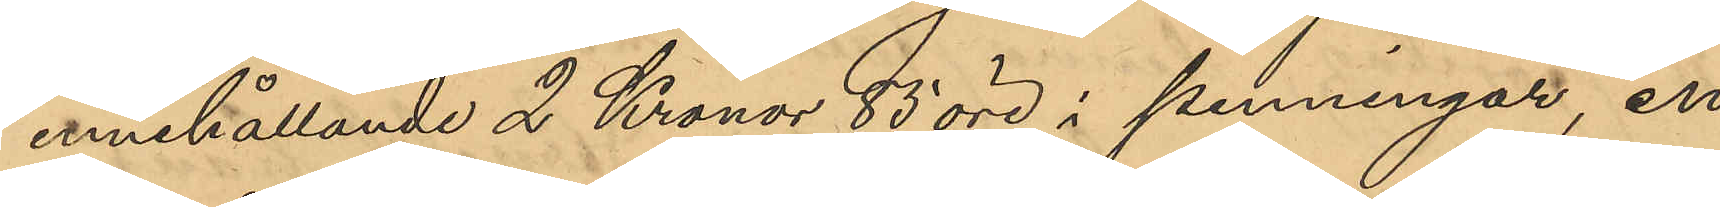innehållande 2 Kronor 83 öre i penningar, en
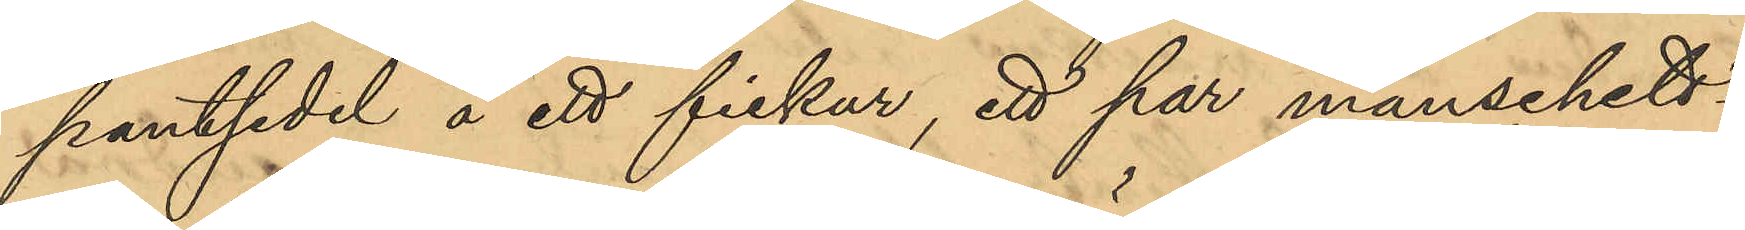pantsedel å ett fickur, ett par manschett¬
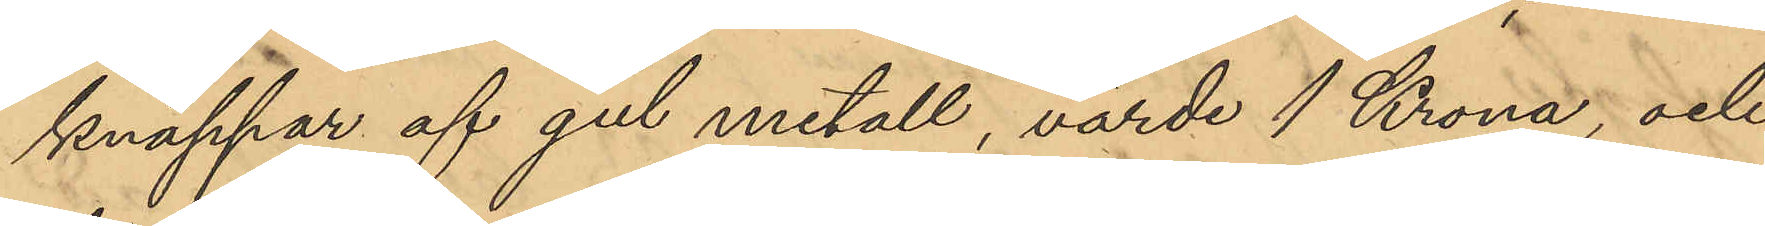knappar af gul metall, värde 1 Krona, och
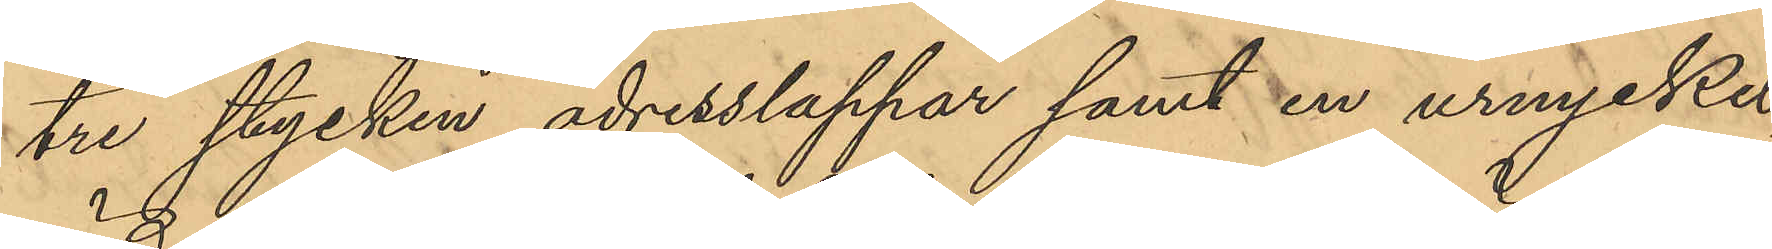tre stycken adresslappar samt en urnyckel, 
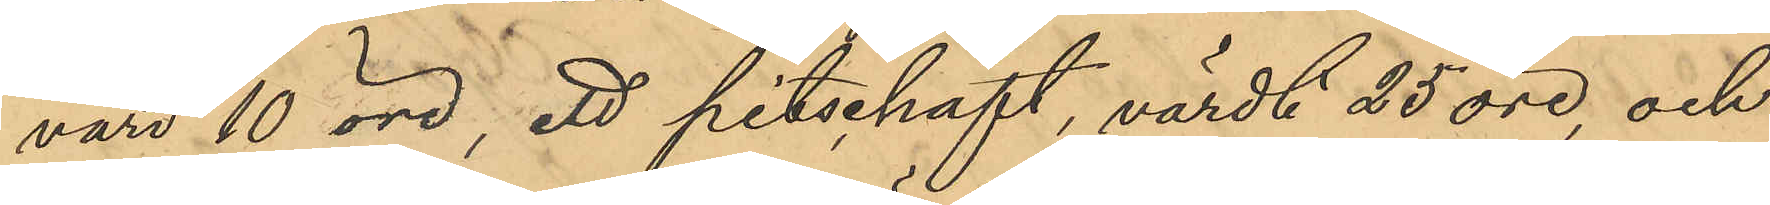värd 10 öre, ett pitschaft, värde 25 öre, och
